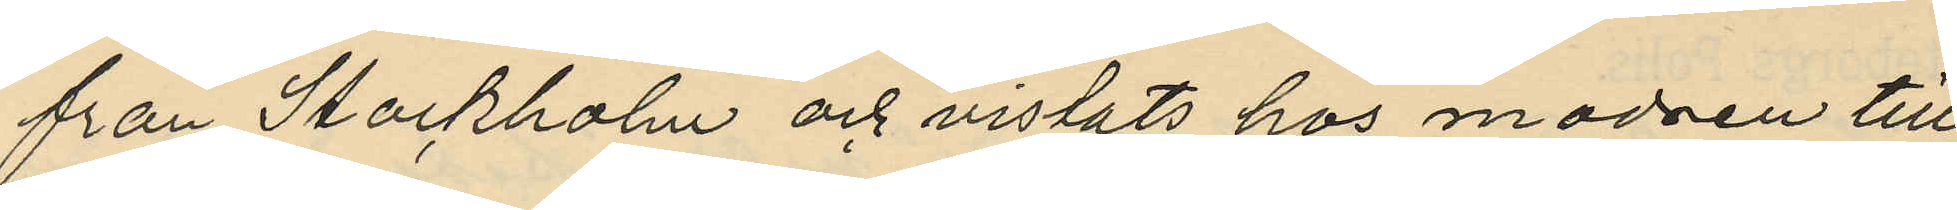från Stockholm och vistats hos modren till
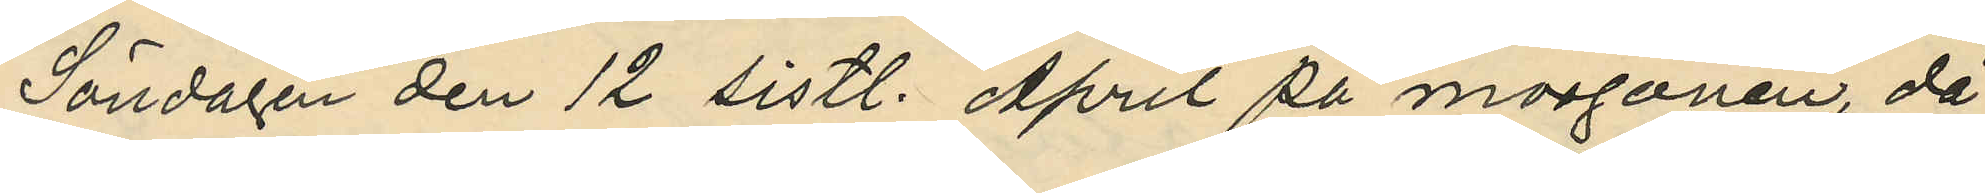Söndagen den 12 sistl. April på morgonen, då
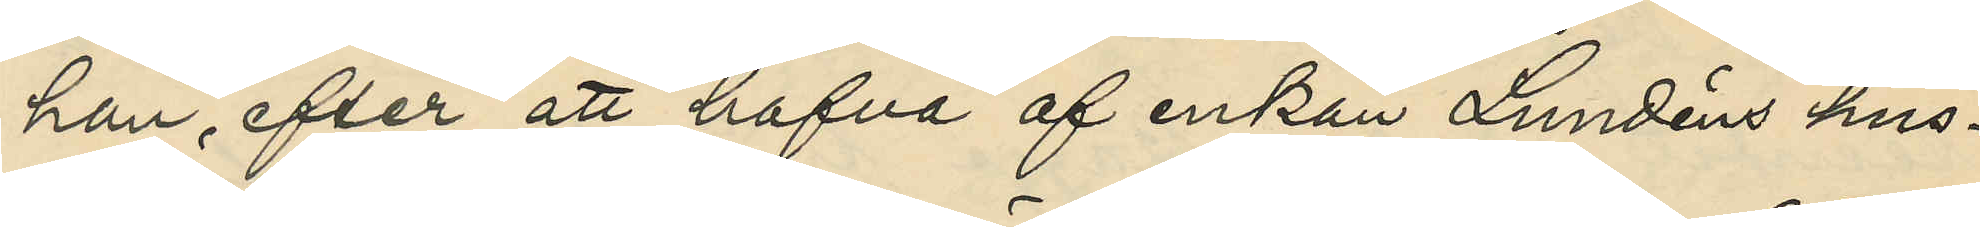han, efter att hafva af enkan Lundéns hus¬
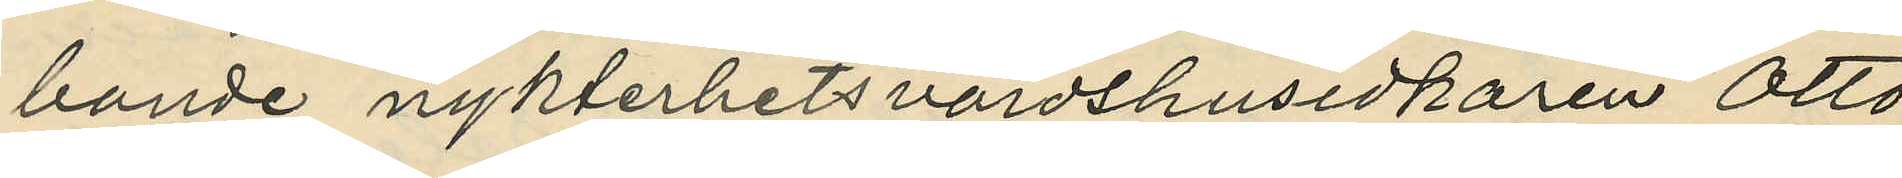bonde nykterhetsvärdshusidkaren Otto
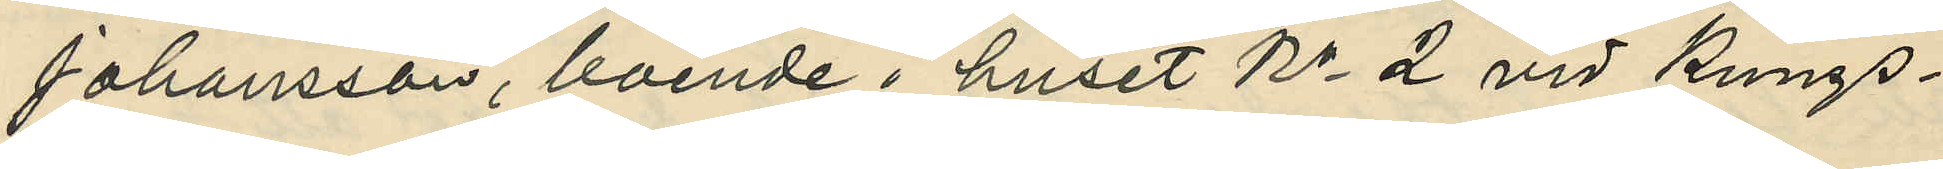Johansson, boende i huset No 2 vid Kungs¬
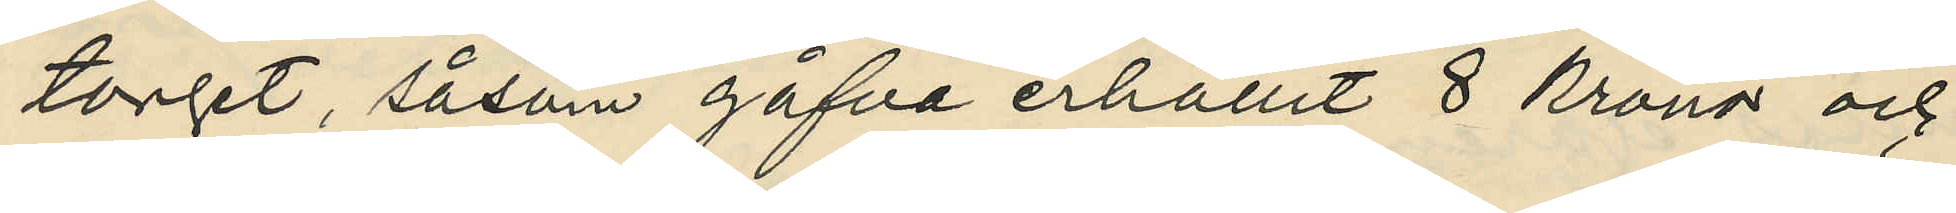torget, såsom gåfva erhållit 8 kronor och
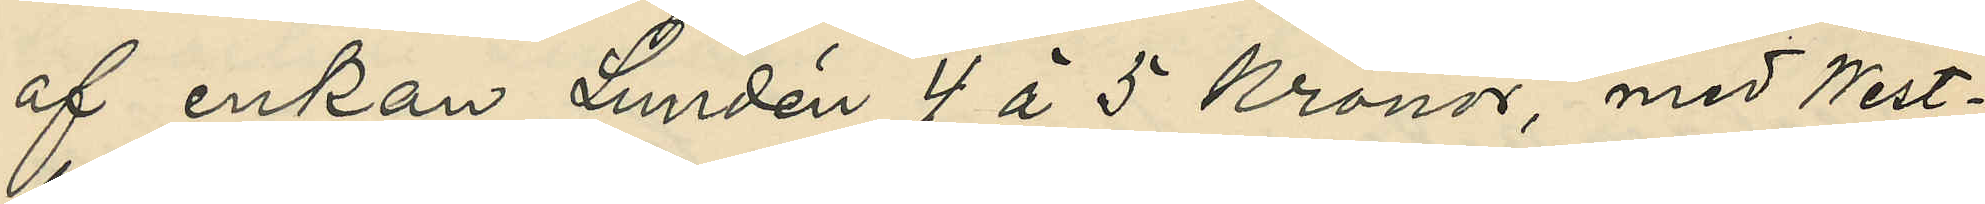af enkan Lundén 4 à 5 kronor, med West¬
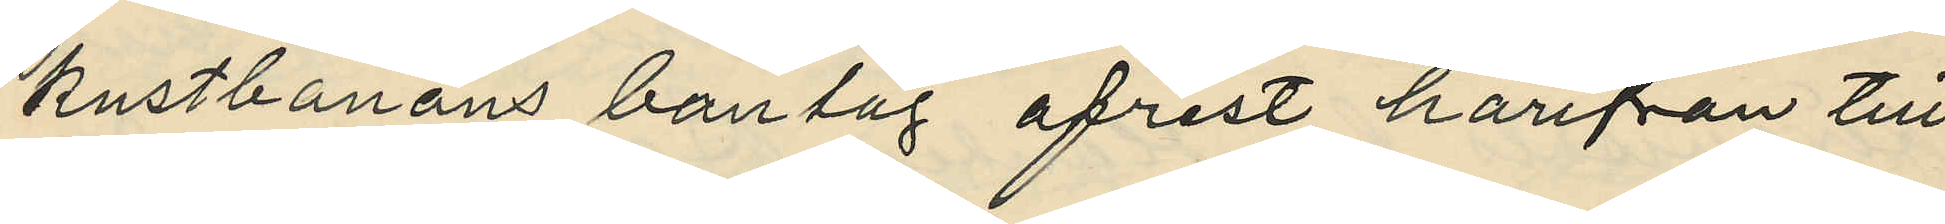kustbanans bantåg afrest härifrån till
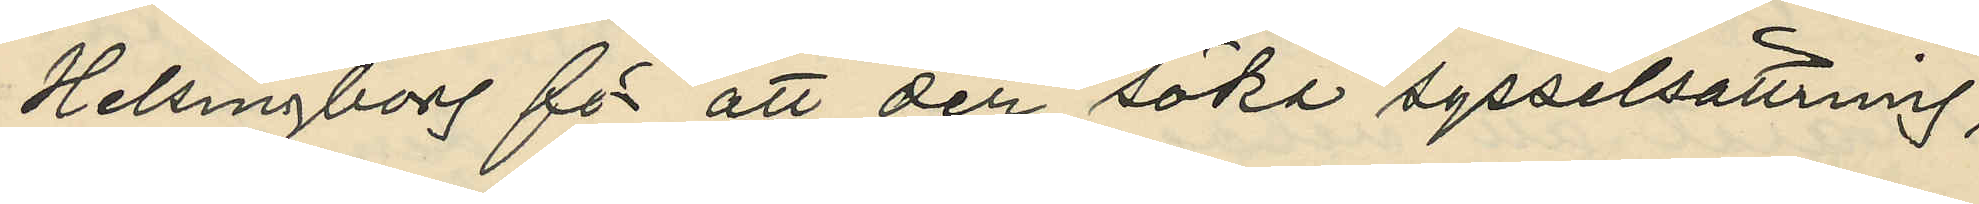Helsingborg för att der söka sysselsättning;
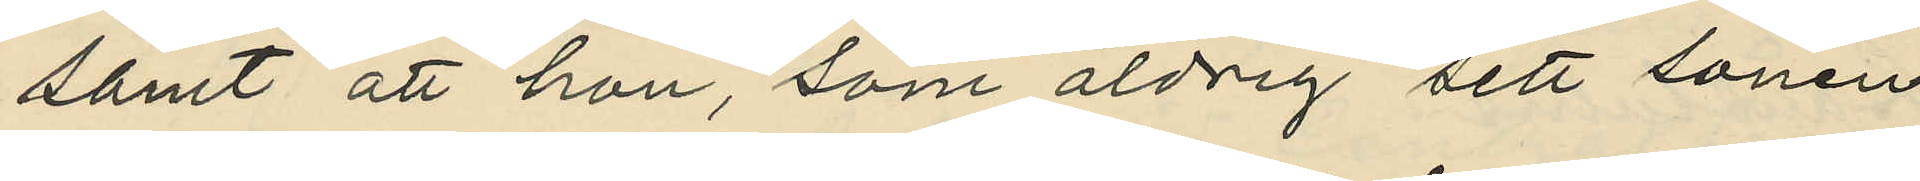samt att han, som aldrig sett sonen
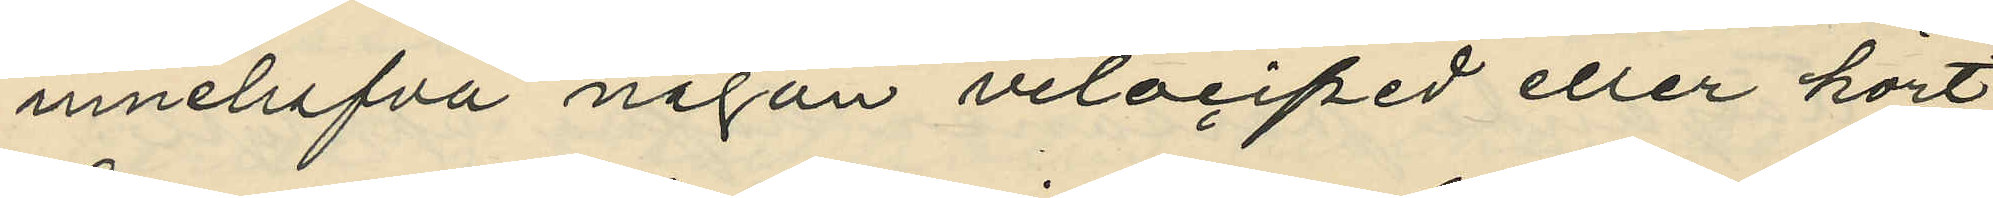innehafva någon velociped eller hört
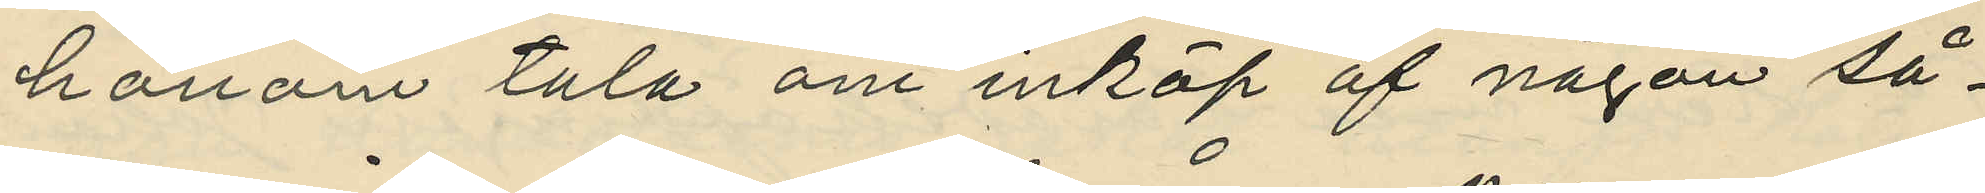honom tala om inköp af någon så¬
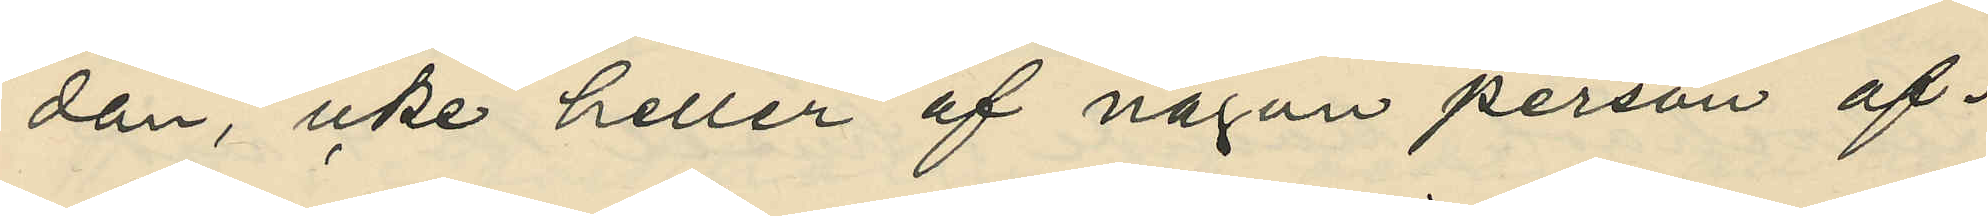dan, icke heller af någon person af¬
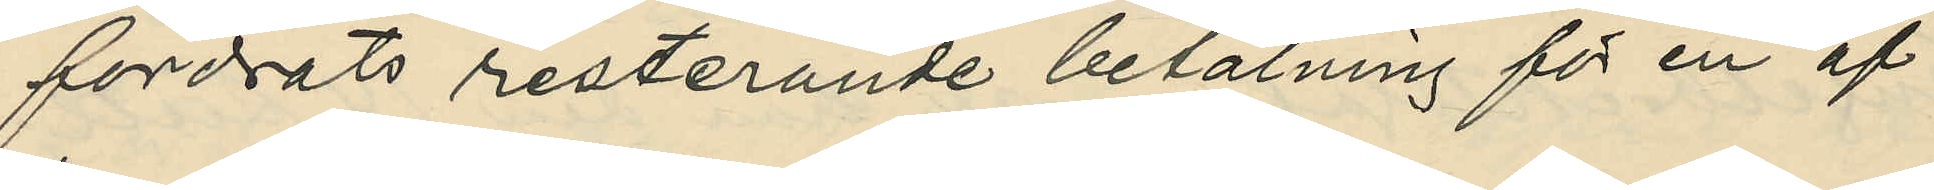fordrats resterande betalning för en af
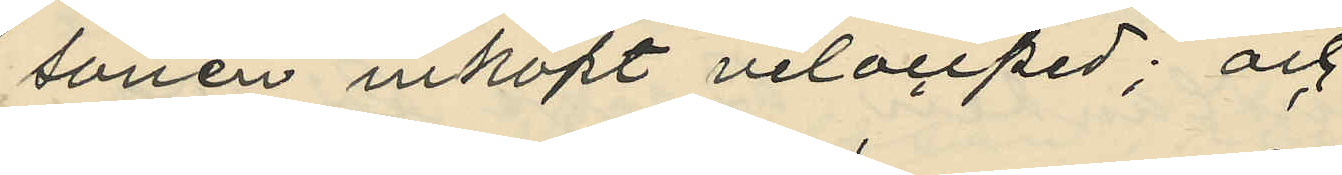sonen inköpt velociped; och
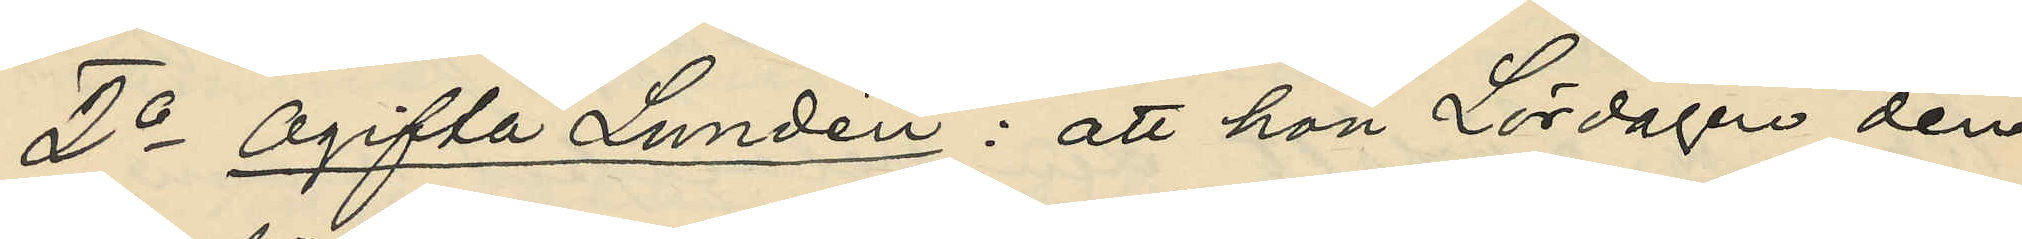2o Ogifta Lundén: att hon Lördagen den
